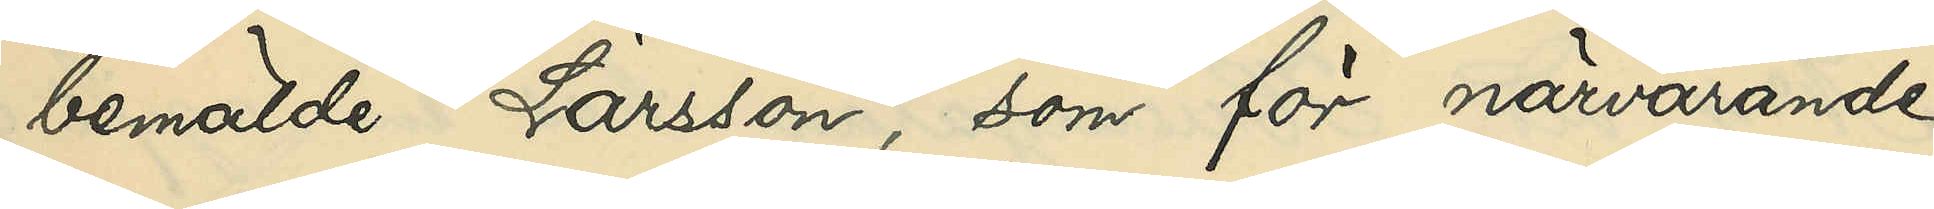bemälde Larsson, som för närvarande
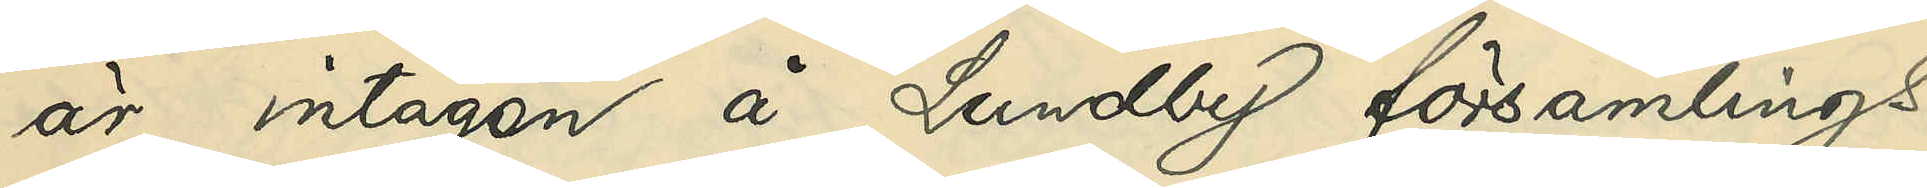är intagen å Lundby församlings
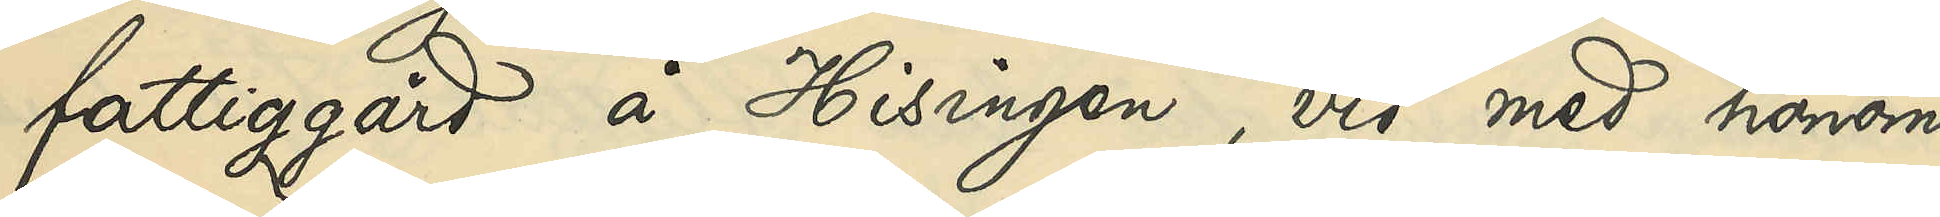fattiggård å Hisingen, vid med honom
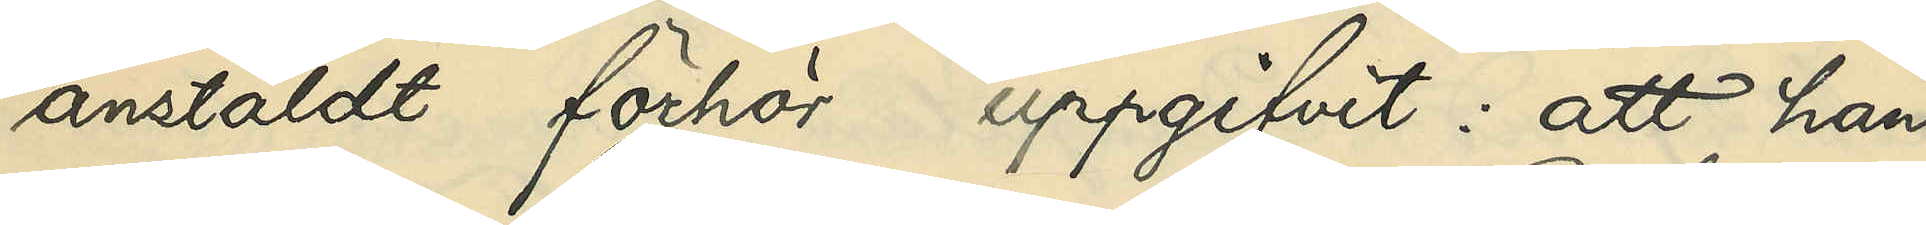anstäldt förhör uppgifvit: att han
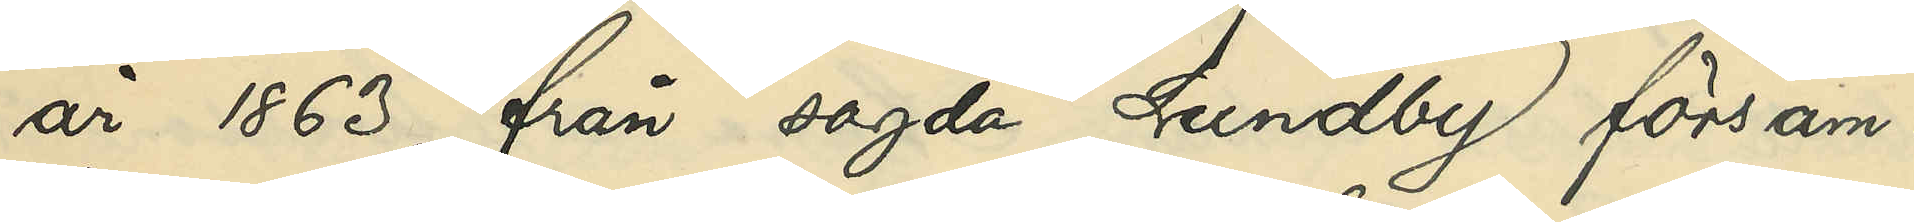år 1863 från sagda Lundby försam¬
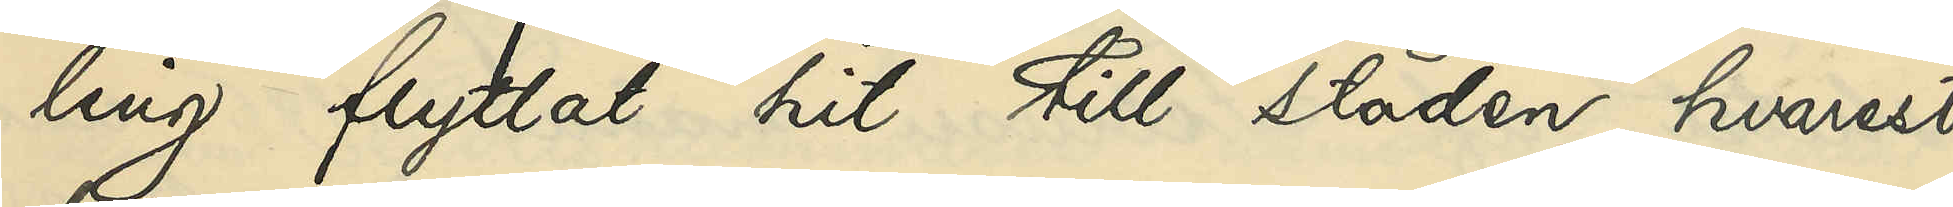ling flyttat hit till staden, hvarest
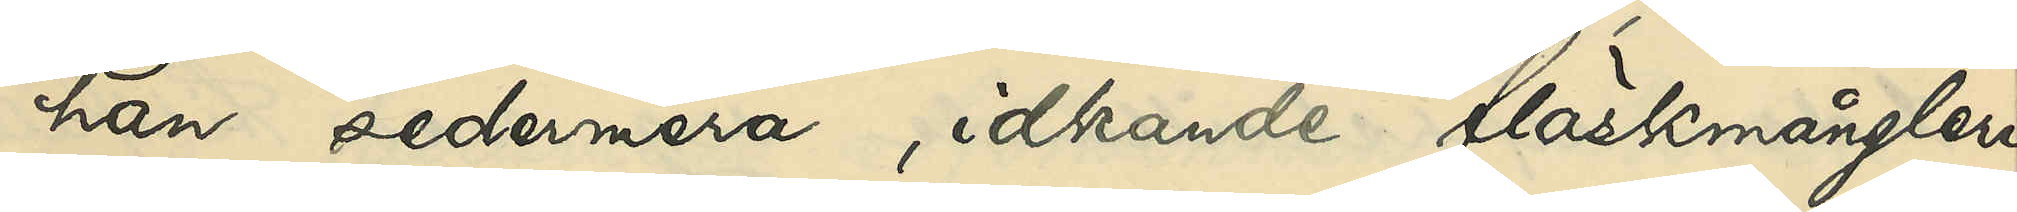han sedermera, idkande fläskmångleri,
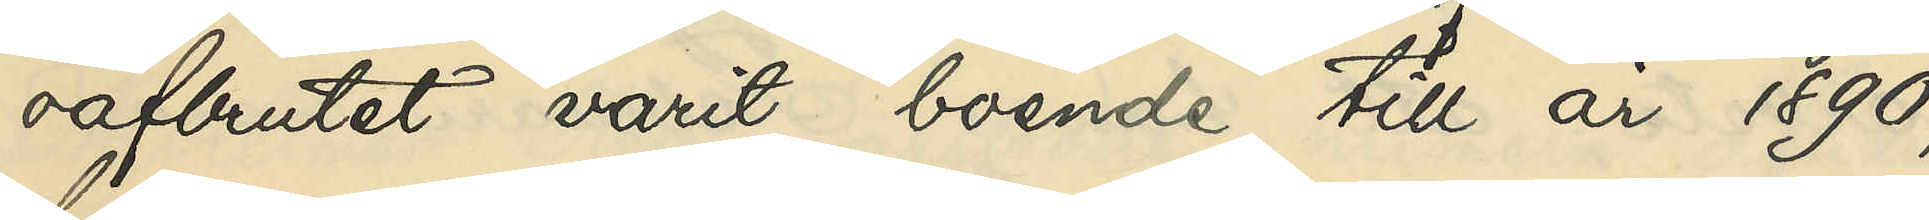oafbrutet varit boende till år 1890,
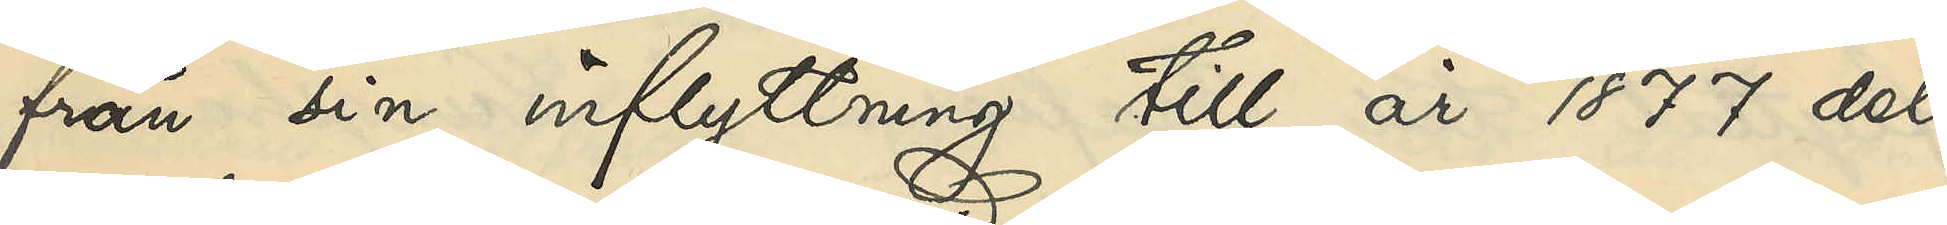från sin inflyttning till år 1877 dels
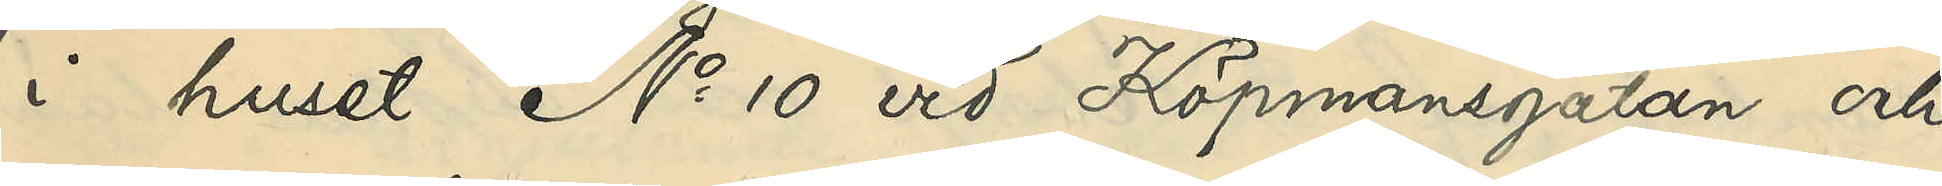i huset No 10 vid Köpmansgatan och
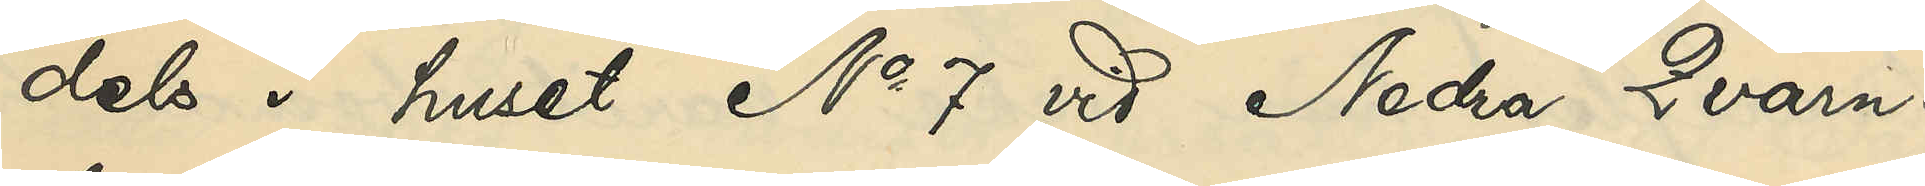dels i huset No 7 vid Nedra Qvarn¬
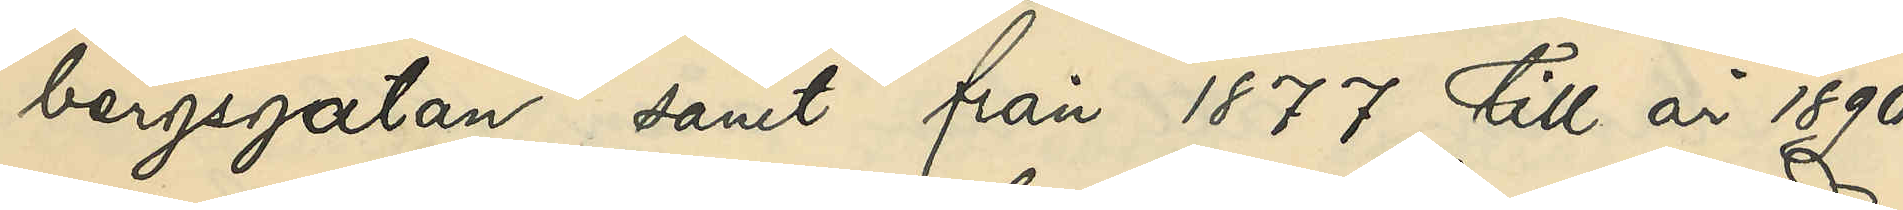bergsgatan samt från 1877 till år 1890
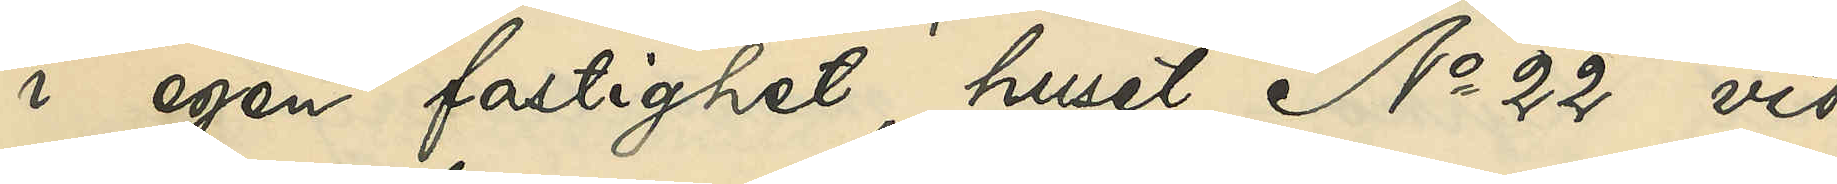i egen fastighet, huset No 22 vid
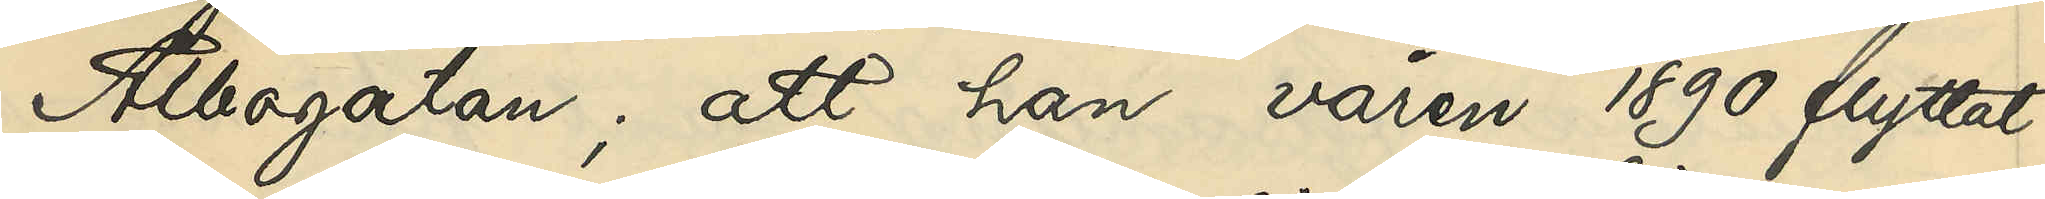Albogatan; att han våren 1890 flyttat
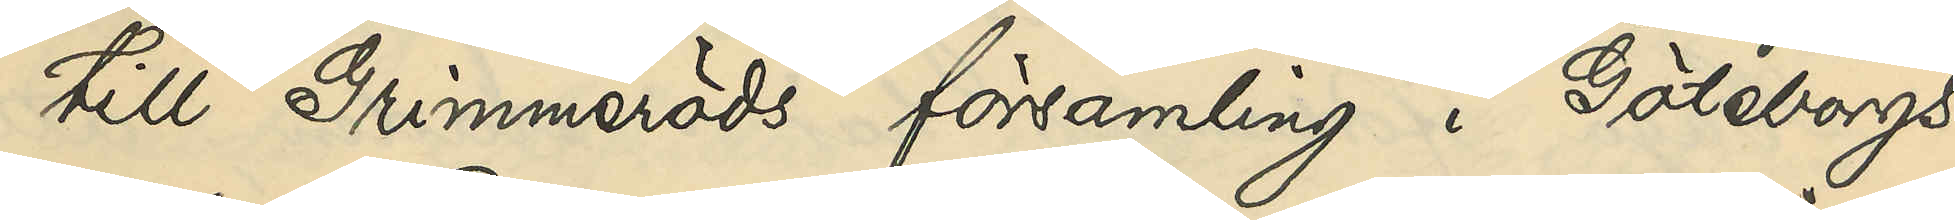till Grimmeröds församling i Göteborgs
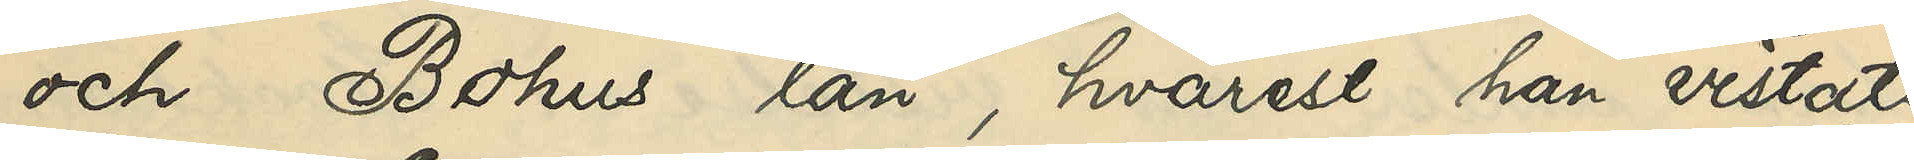och Bohus län, hvarest han vistats
